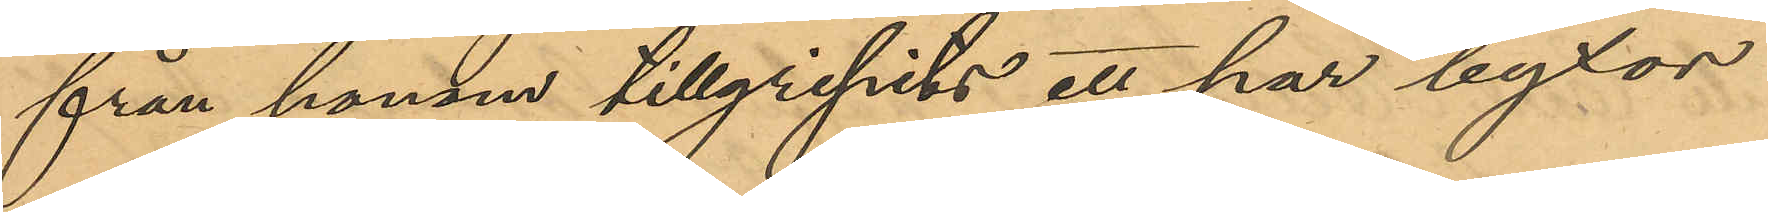från honom tillgripits ett par byxor
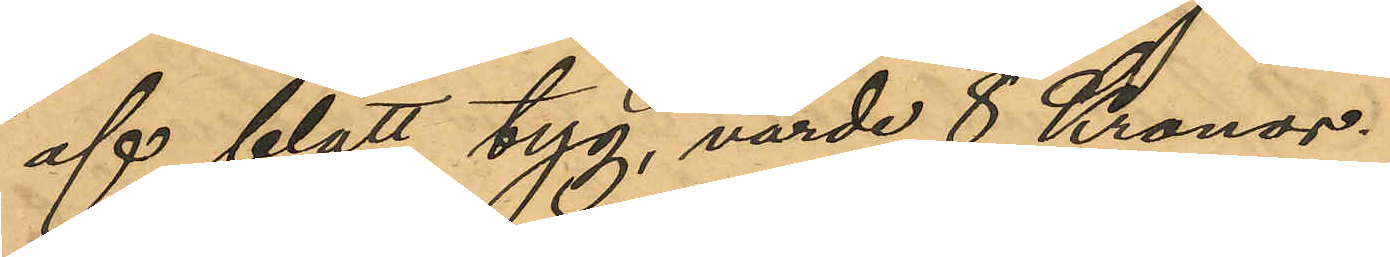af blått tyg, värde 8 Kronor.
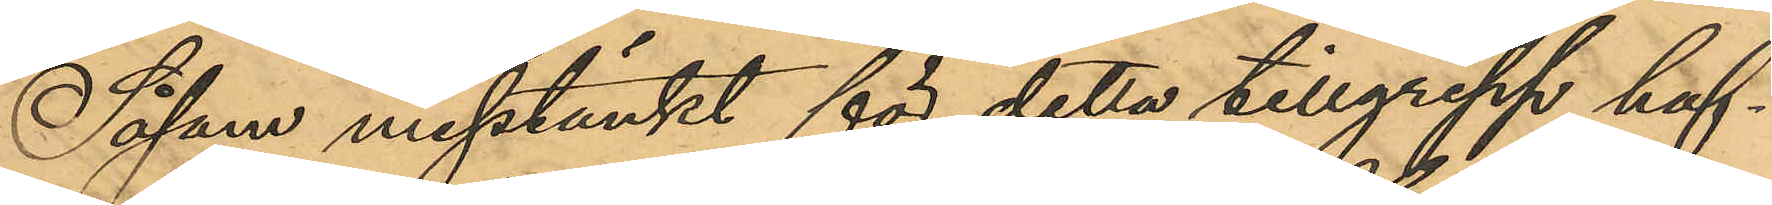Såsom misstänkt för detta tillgrepp haf¬
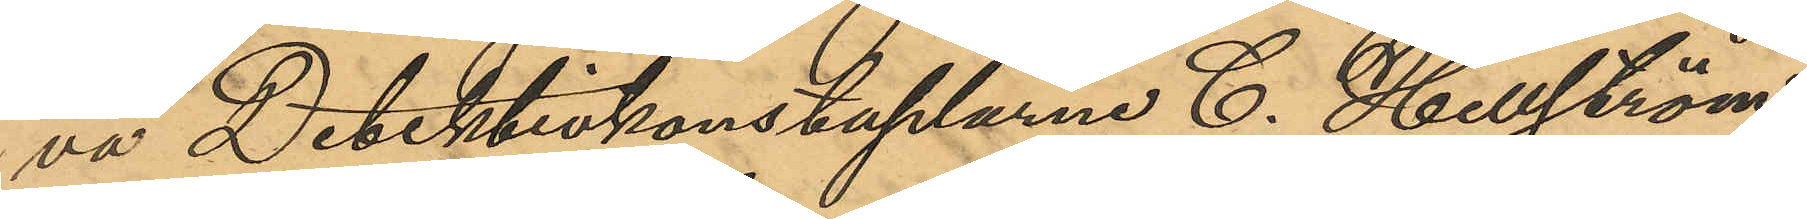va Detektivkonstaplarne C. Hellström
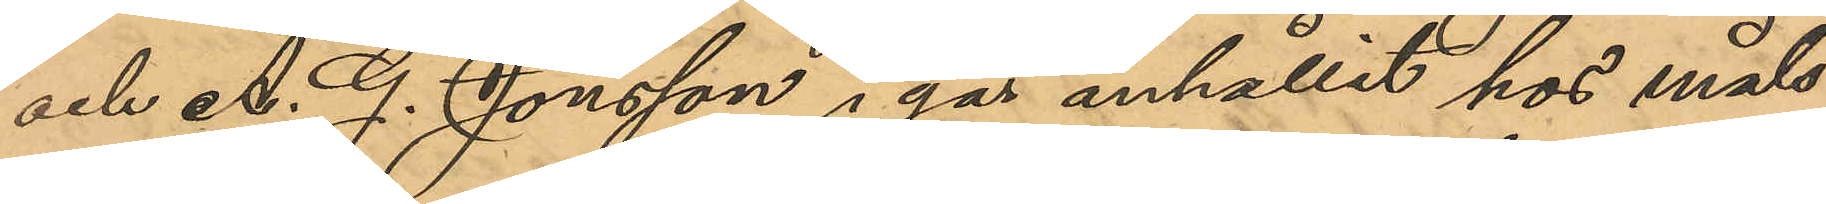och A. G. Jönsson i går anhållit hos måls¬
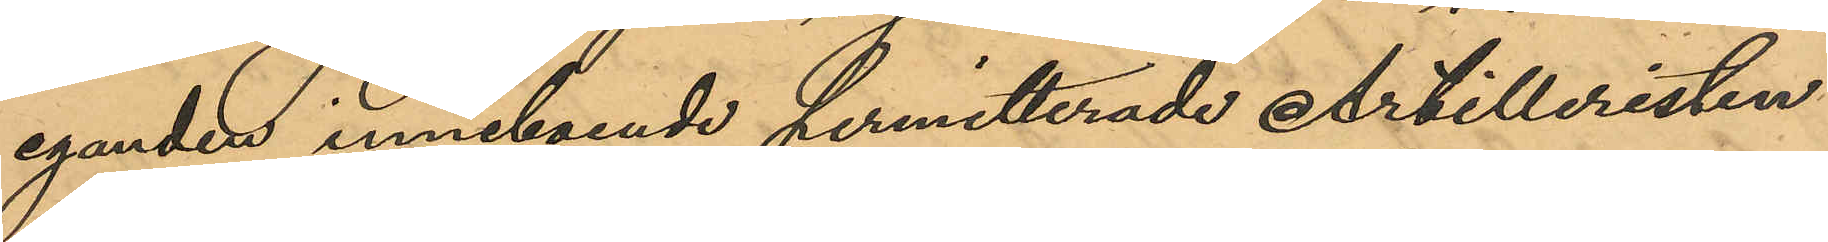eganden inneboende permitterade Artilleristen
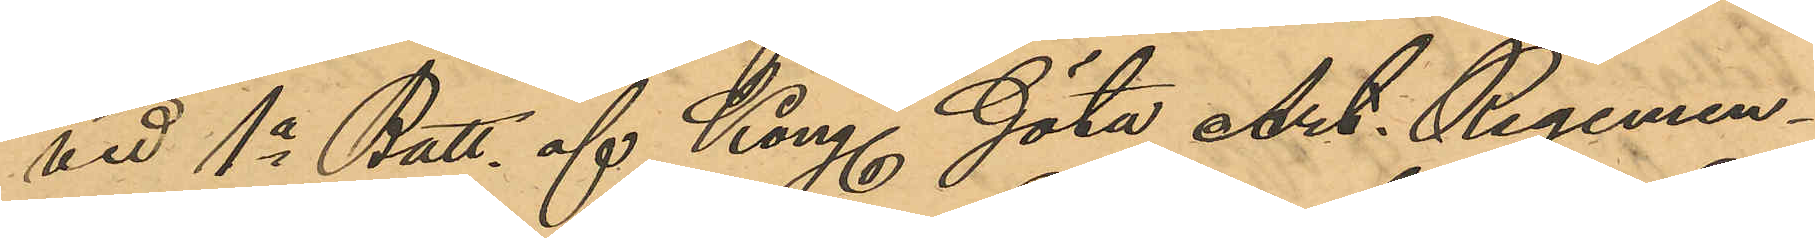vid 1o Batt. af Kongl. Göta Art. Regemen¬
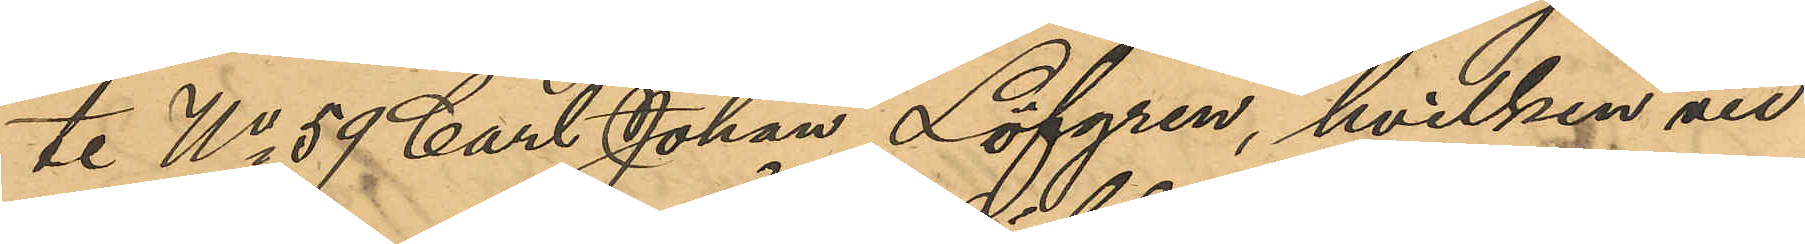te No 59 Carl Johan Löfgren, hvilken vid
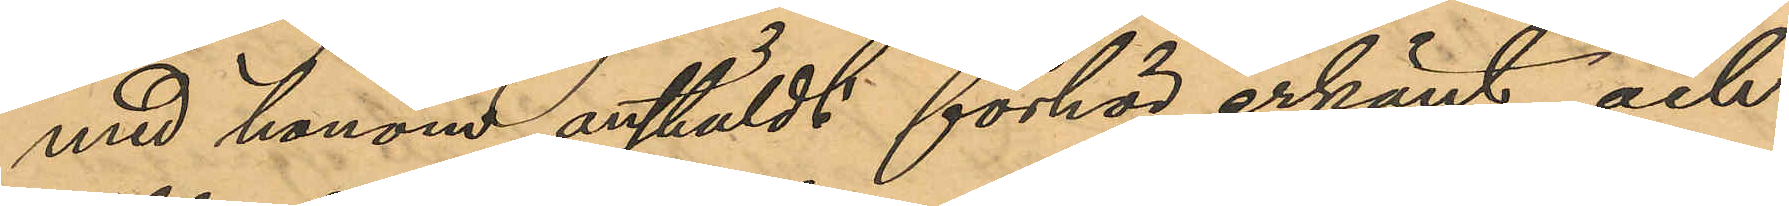med honom anstäldt förhör erkänt och
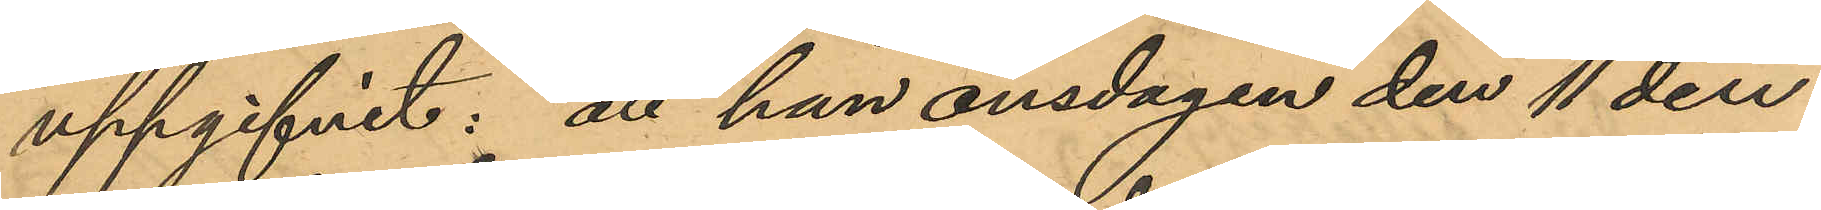uppgifvit: att han onsdagen den 11 den¬
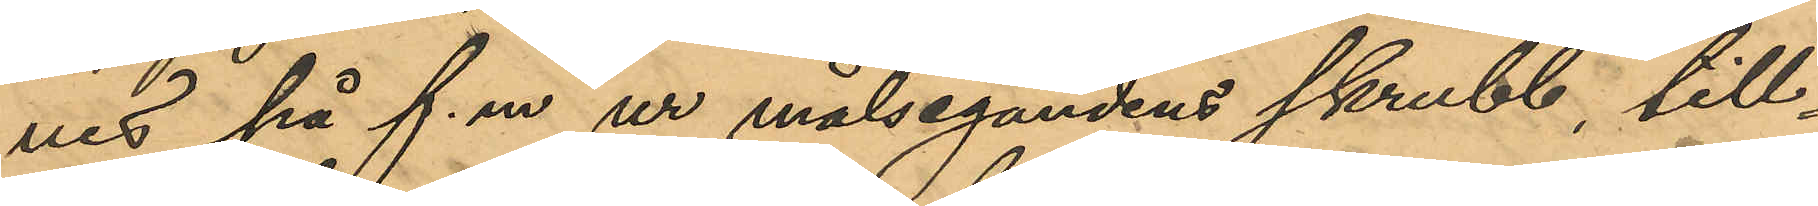nes på f. m. ur målsegandens skrubb, till¬
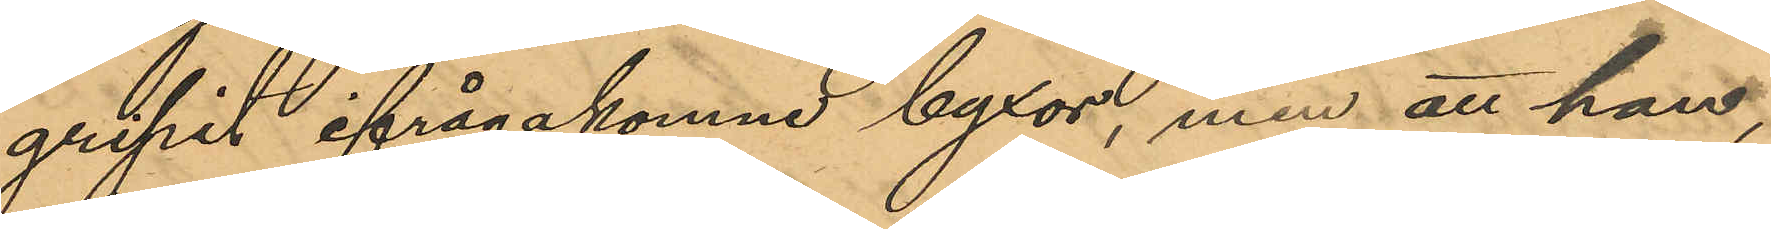gripit ifrågakomne byxor, men att han,
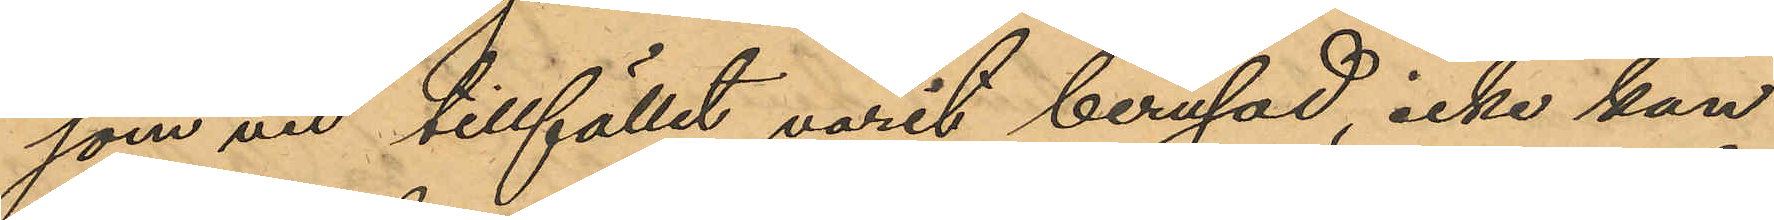som vi tillfället varit berusad, icke kan
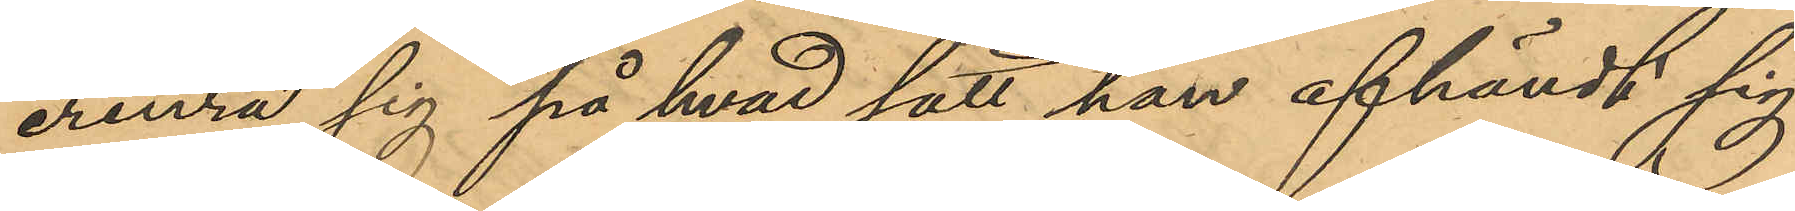erinra sig på hvad sätt han afhändt sig
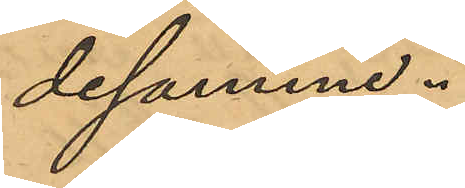desamma.
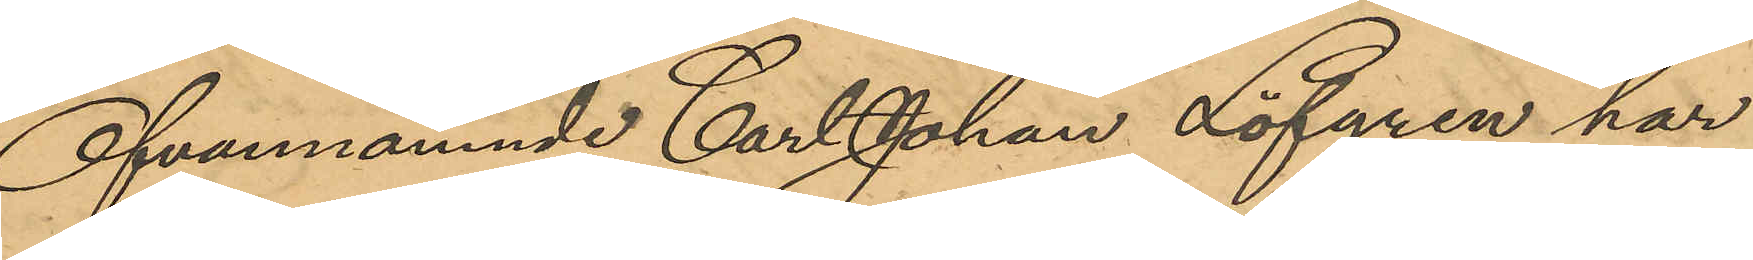Ofvannämnde Carl Johan Löfgren har
